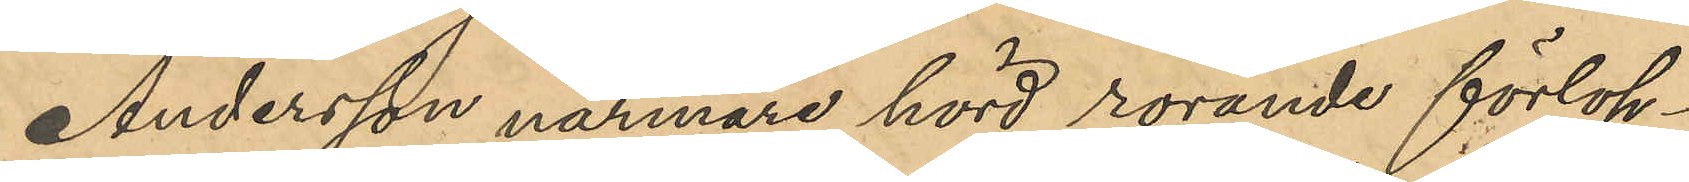Andersson närmare hörd rörande förlop¬
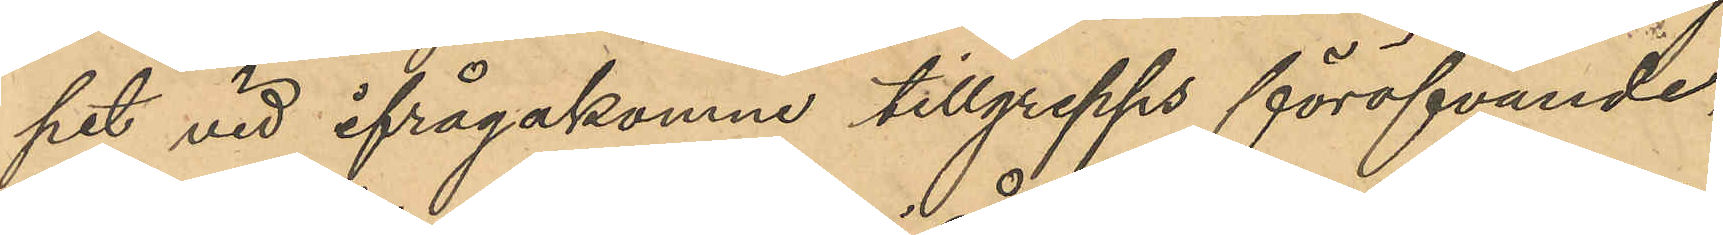pet vid ifrågakomne tillgrepps föröfvande
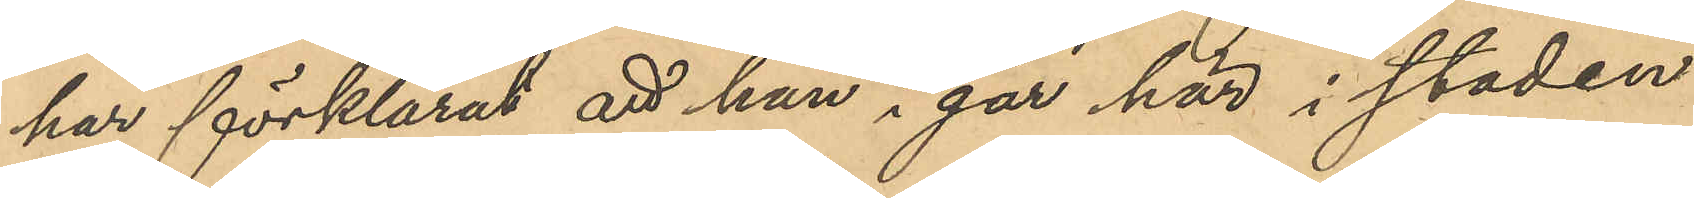har förklarat att han i går här i staden
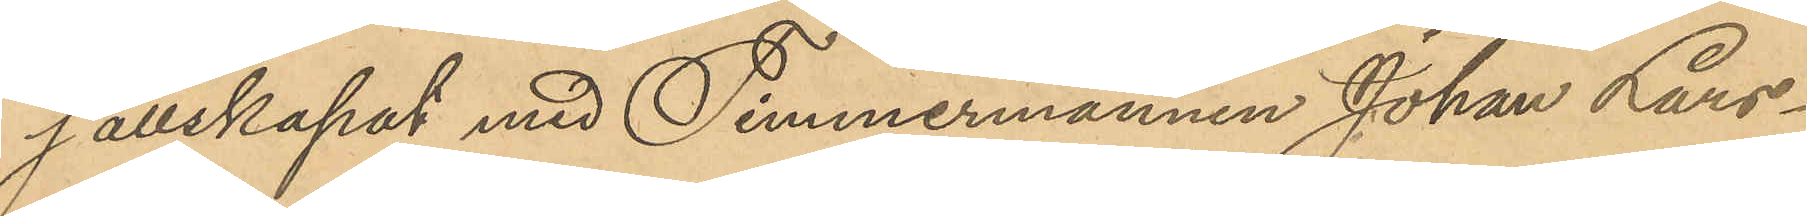sällskapat med Timmermännen Johan Lars¬
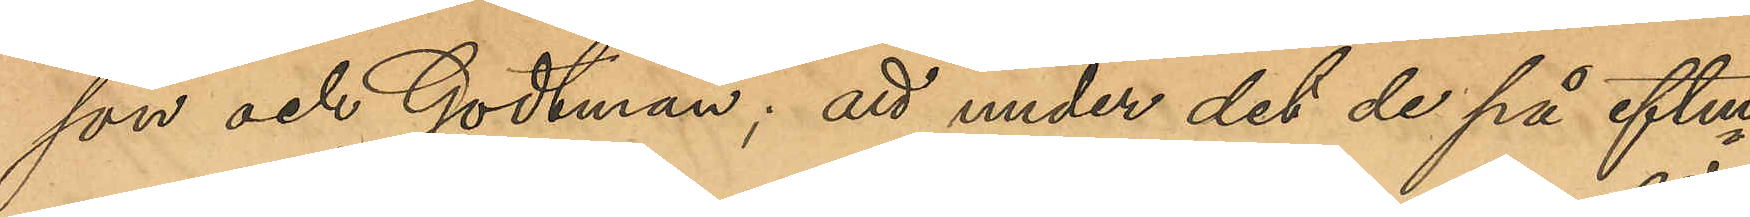son och Godtman; att under det de på eftm
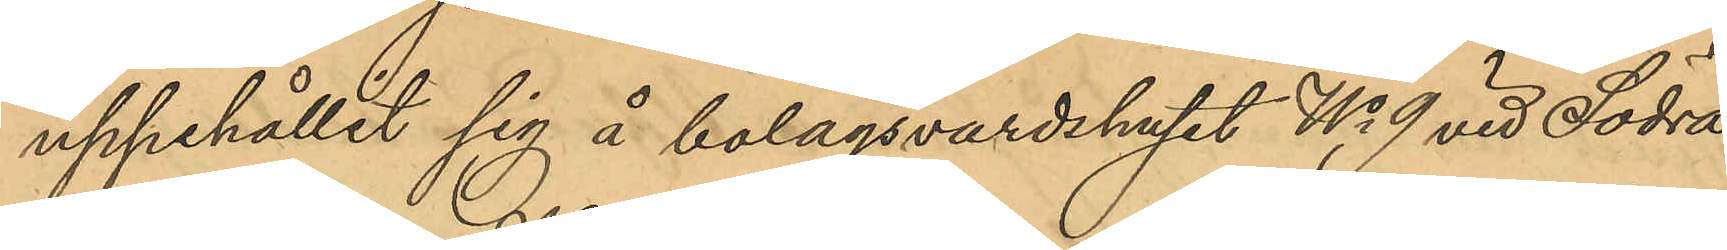uppehållit sig å bolagsvardshuset No 9 vid Södra
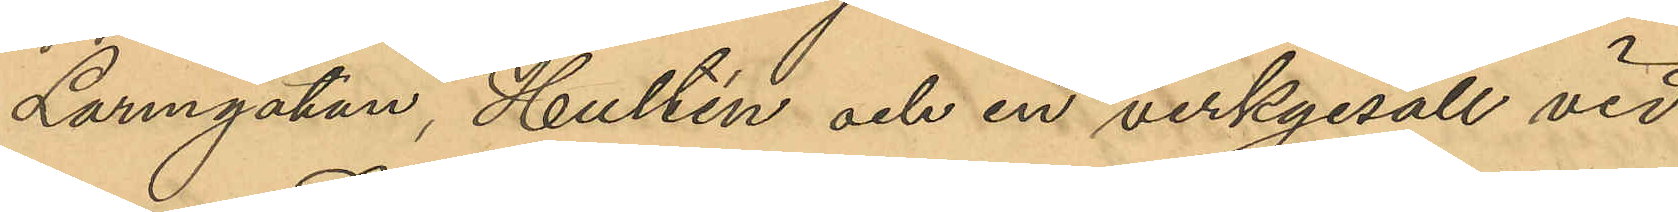Larmgatan, Hultén och en verkgesäll vid 
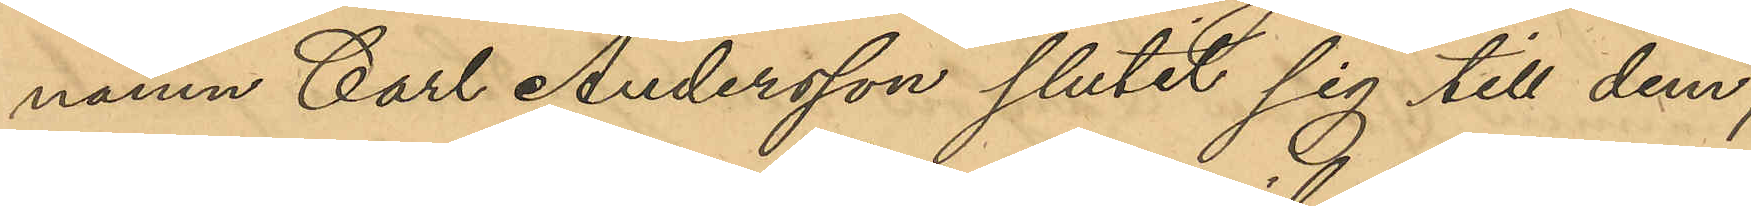namn Carl Andersson slutit sig till dem;
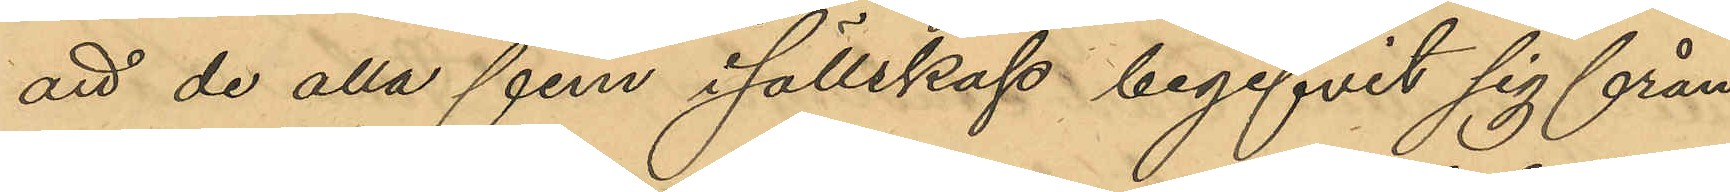att de alla fem i sällskap begifvit sig från
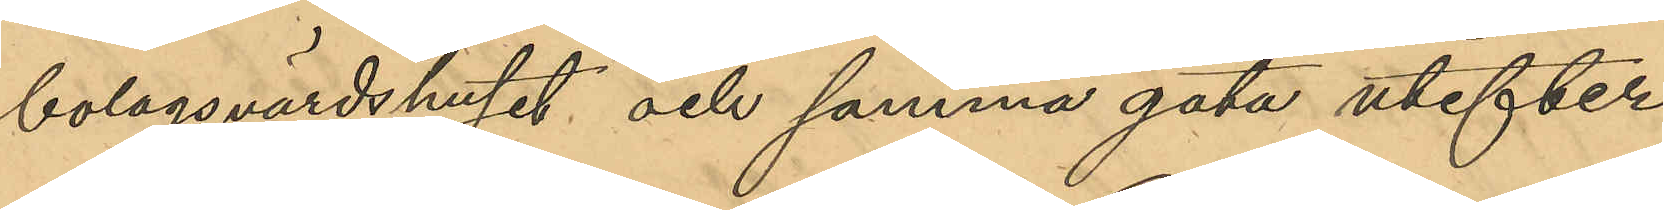bolagsvärdshuset och samma gata utefter
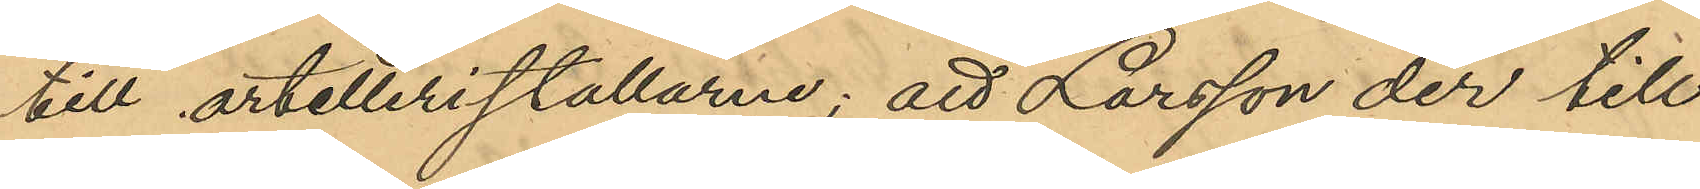till artelleristallarne; att Larsson der till
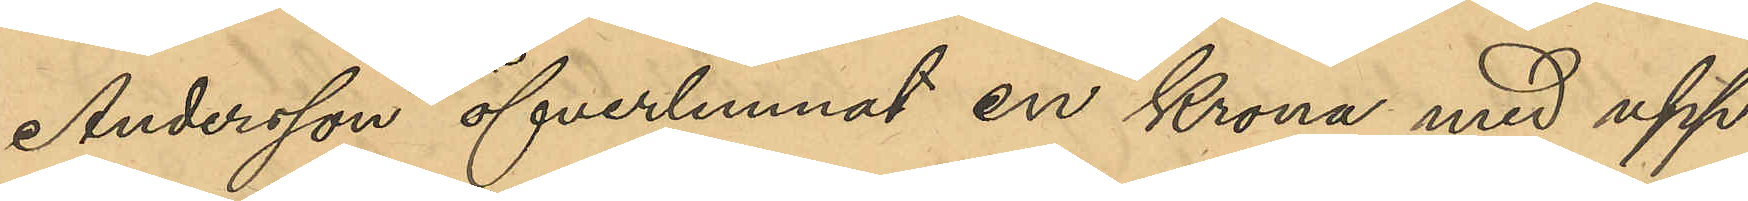Andersson öfverlemnat en Krona med upp¬
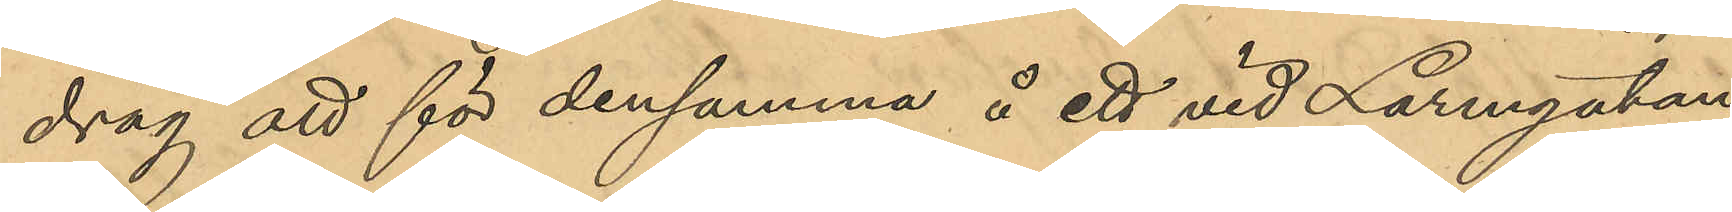drag att för densamma å ett vid Larmgatan
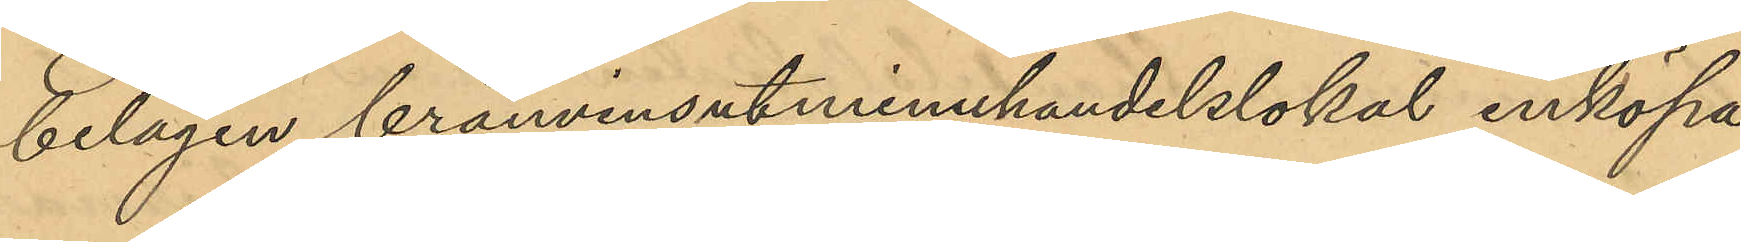belägen brännvinsutminuhandelslokal inköpa
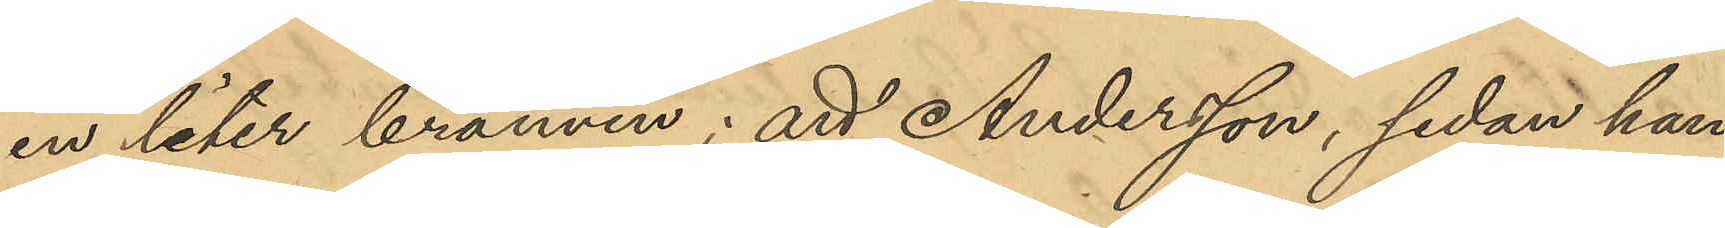en liter brännvin; att Andersson, sedan han
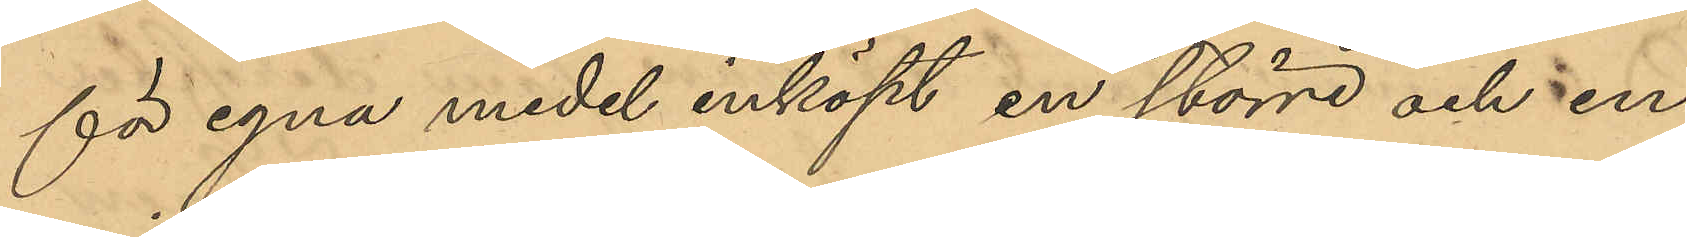för egna medel inköpt en större och en
